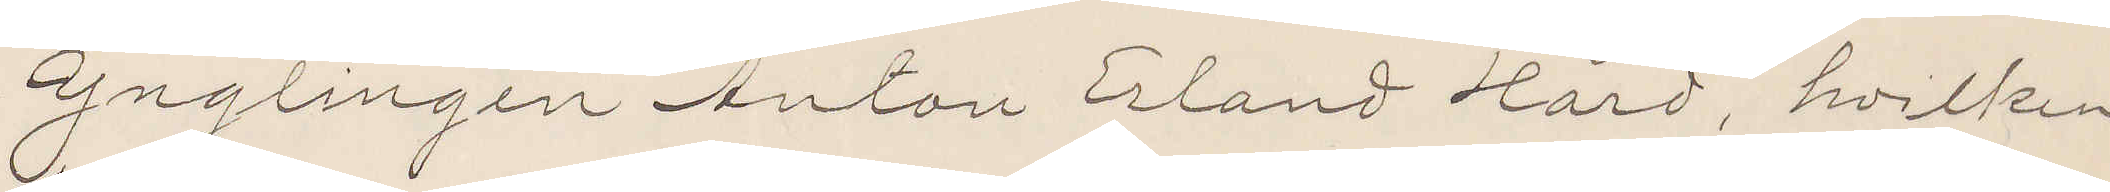Ynglingen Anton Erland Hård, hvilken
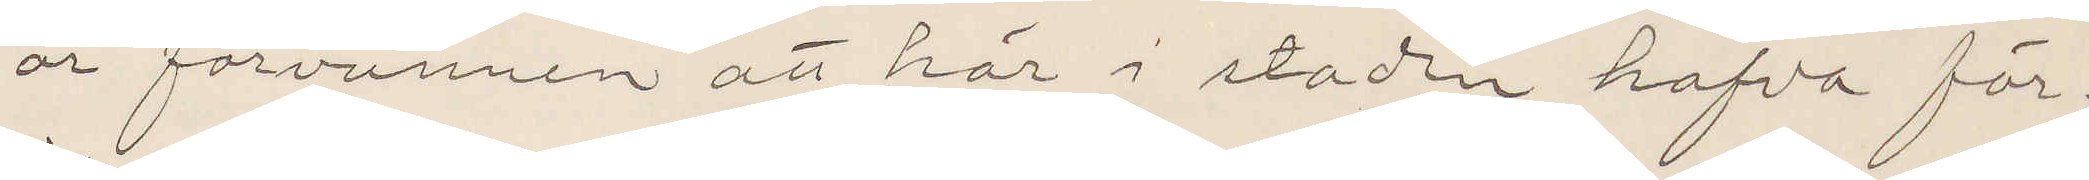är försvunnen att här i staden hafva för¬
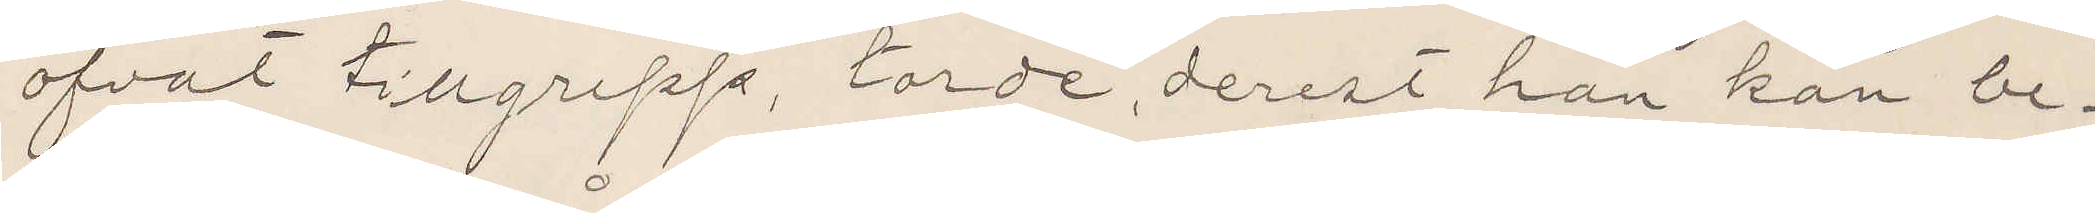öfvat tillgrepp, torde, derest han kan be¬
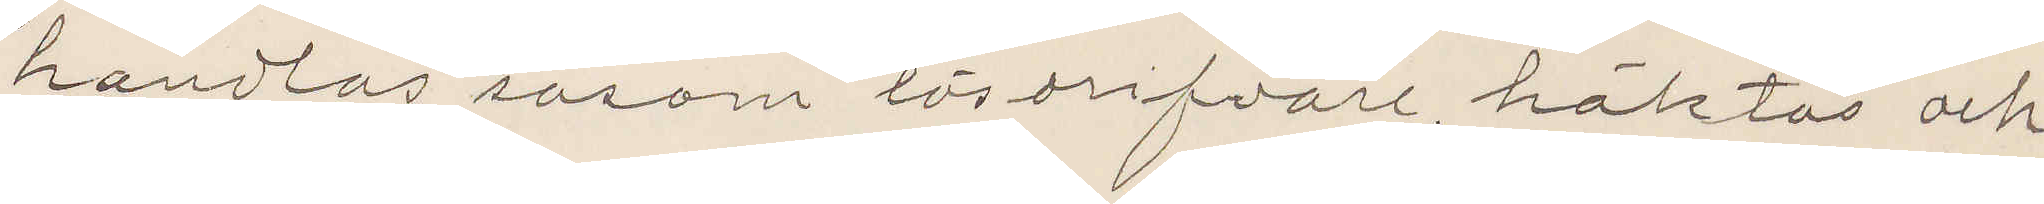handlas såsom lösdrifvare, häktas och
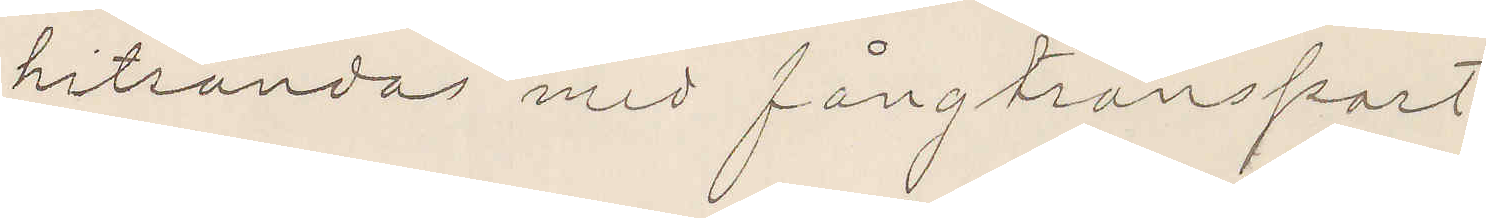hitsändas med fångtransport.
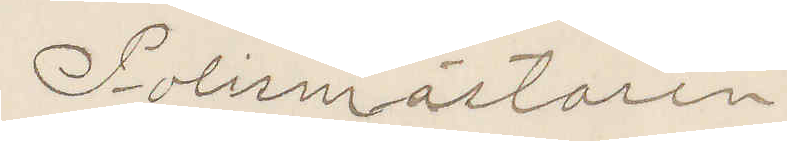Polismästaren.
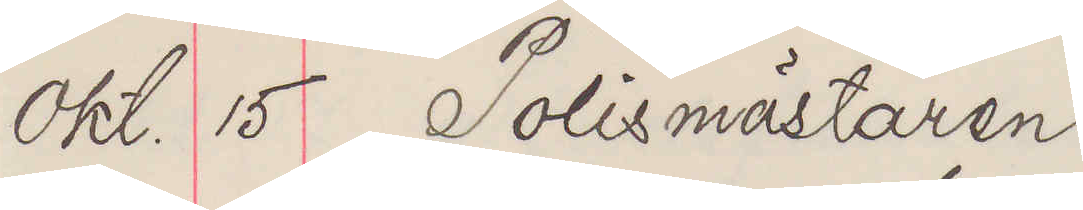Okt 15 Polismästaren
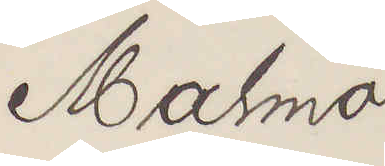Malmö
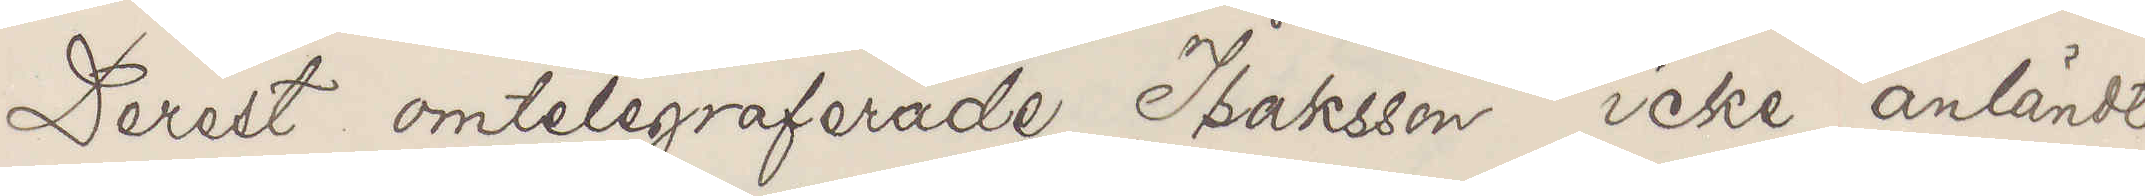Derest omtelegraferade Isaksson icke anländt
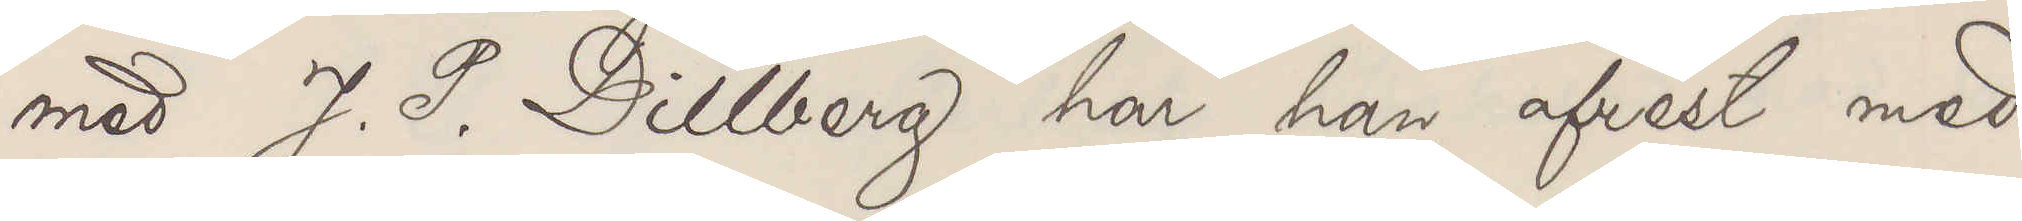med J. P. Dillberg har han afrest med
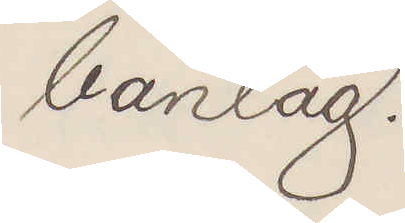bantåg.
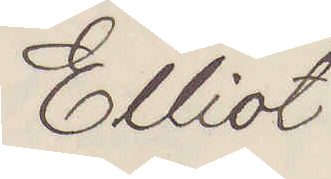Elliot
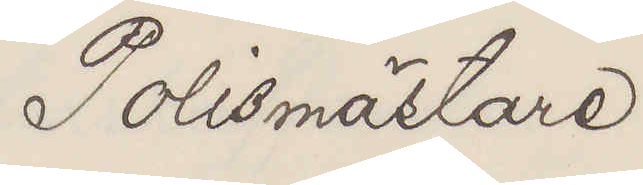Polismästare
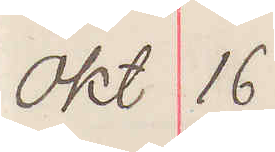okt 16
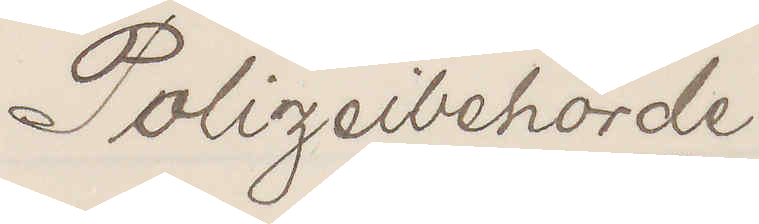Polizeibehörde
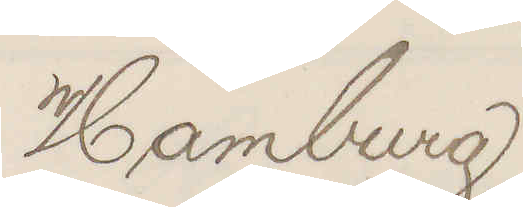Hamburg
